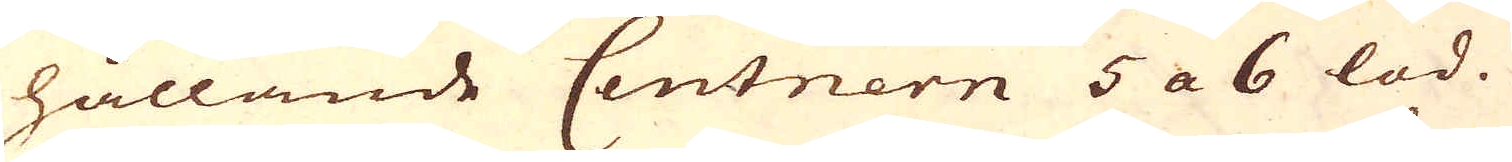hållande Centnern 5 a 6 lod.
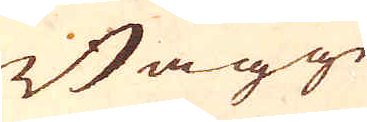Bägge
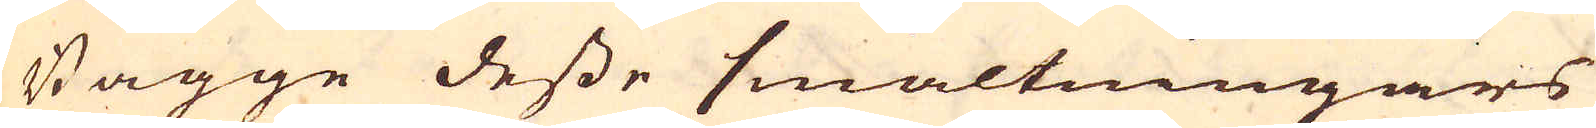Bägge desse smältningars
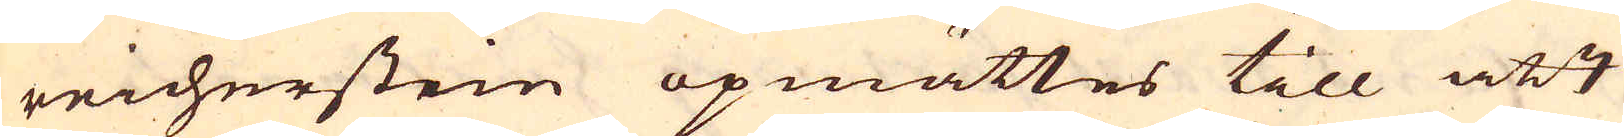reicherstein opmättes till att
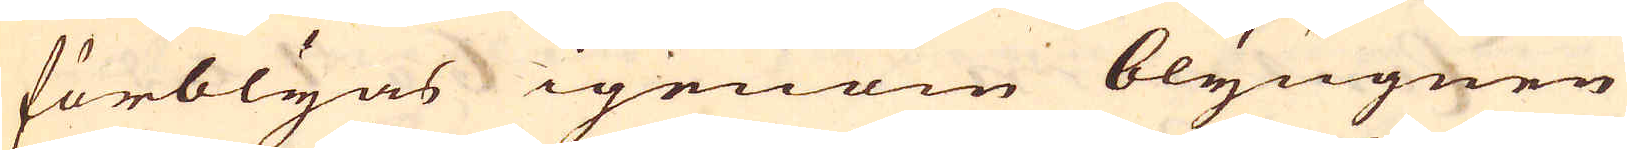förblyas igenom blyugnen
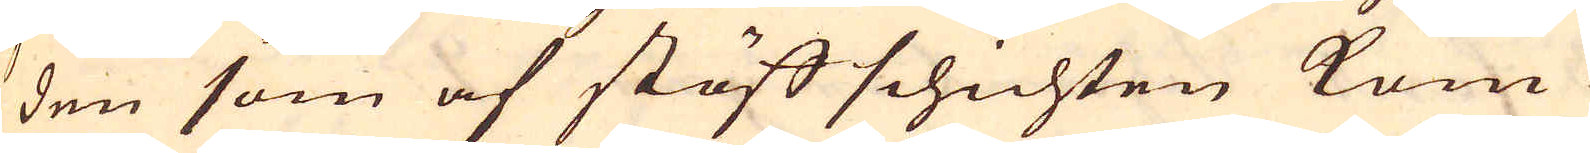den som af stöffschichten kom-
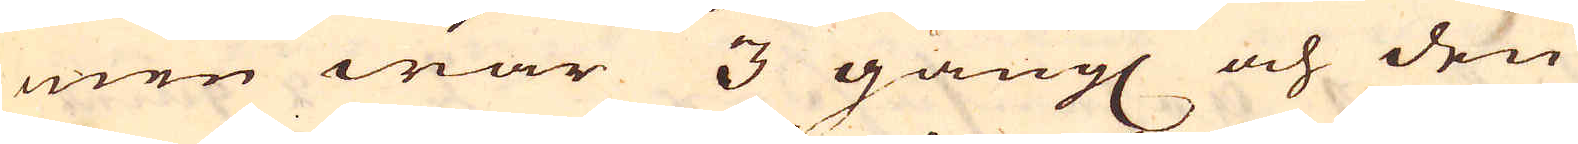men war 3 gång och den
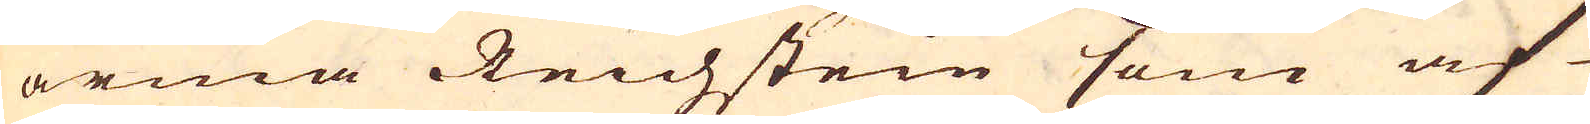arma Reichstein som af
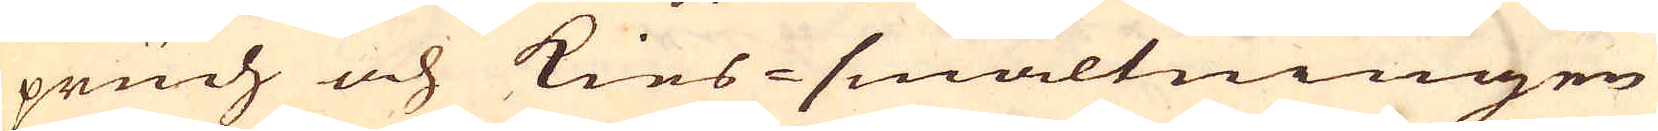pruch och Kies-smältningen
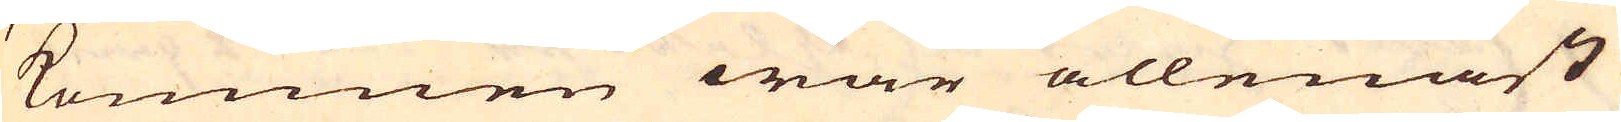kommen war allenast
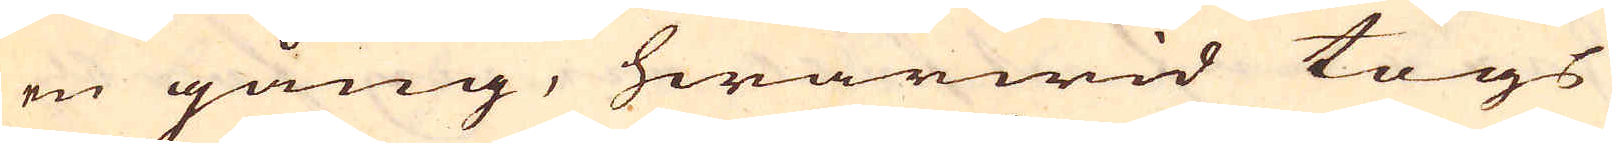en gång, hwarwid togs
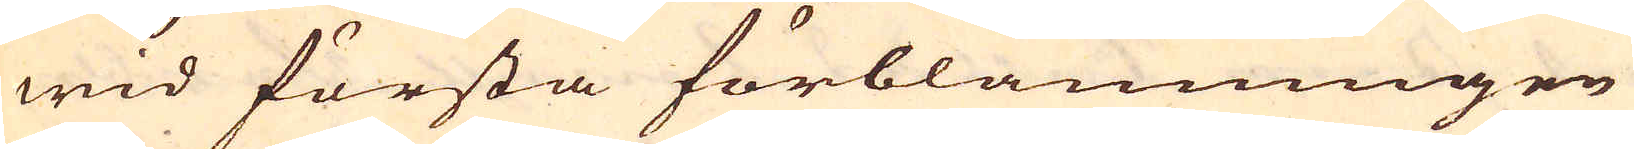wid första förblänningen
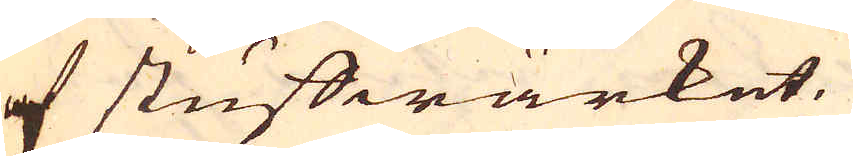af stuffwärket.
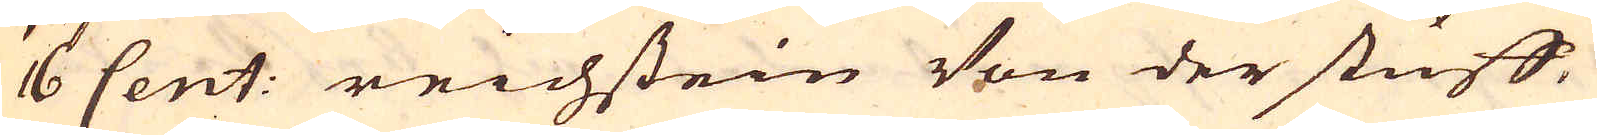16 Cent: reichstein Von der stuff
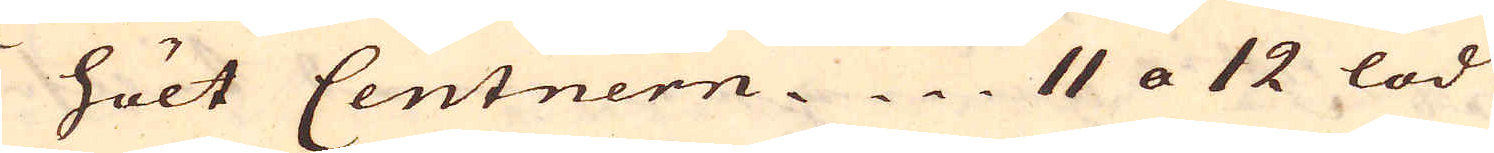hölt Centnern 11 a 12 lod
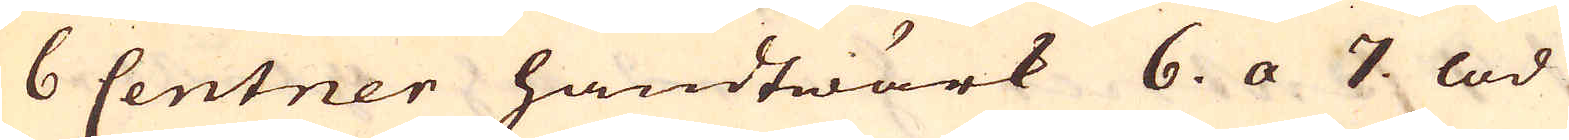6 Centner handtwärk 6. a 7. lod
